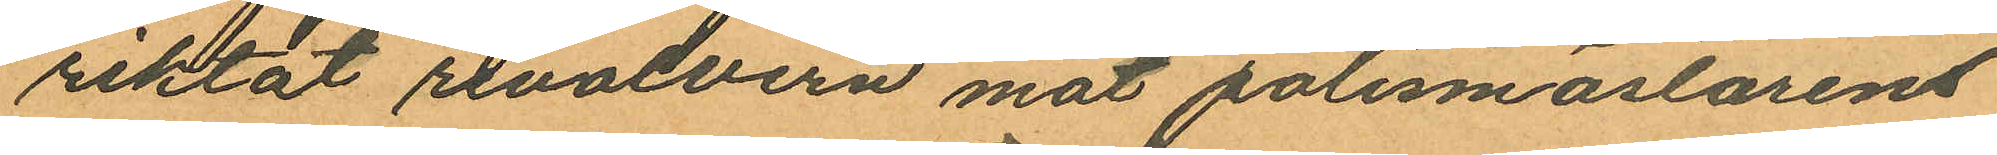riktat revolvern mot polismästarens
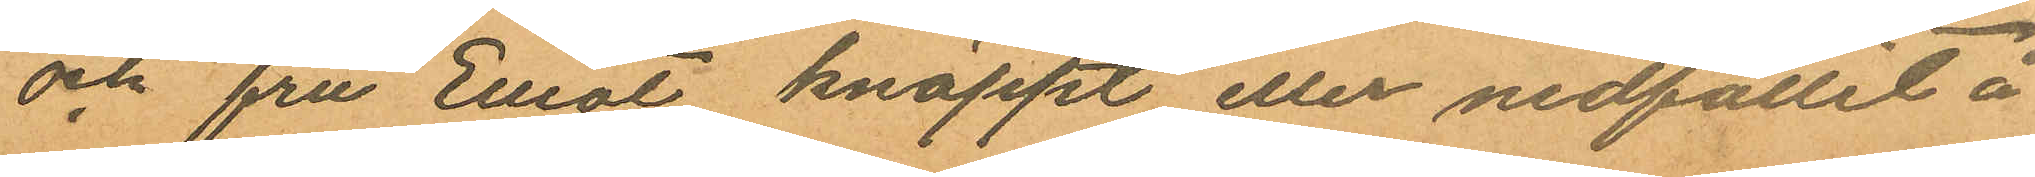och fru Elliot knäppt eller nedfallit å
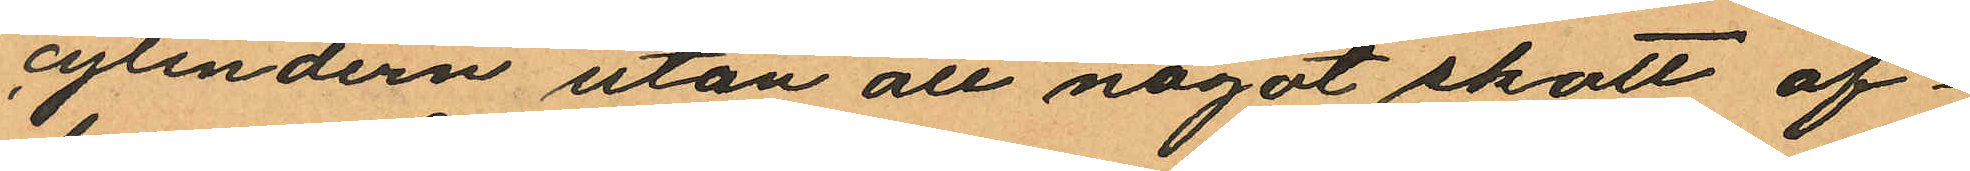cylindern utan att något skott af¬
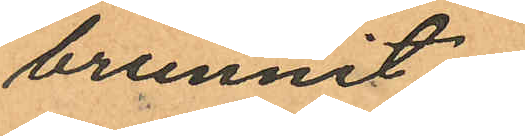brunnit.
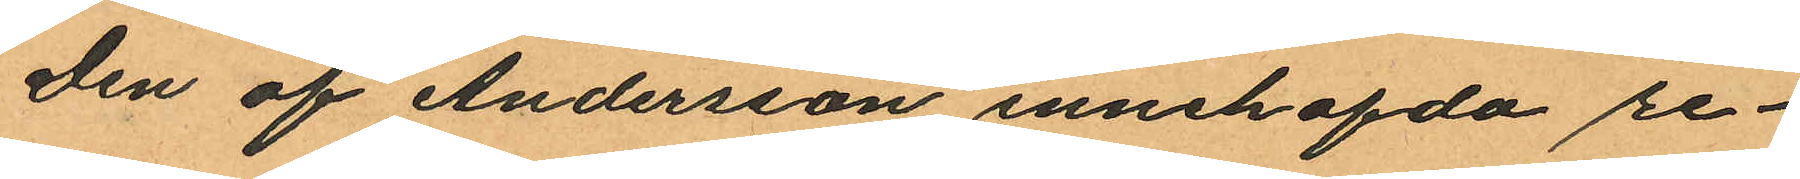Den af Andersson innehafda re¬
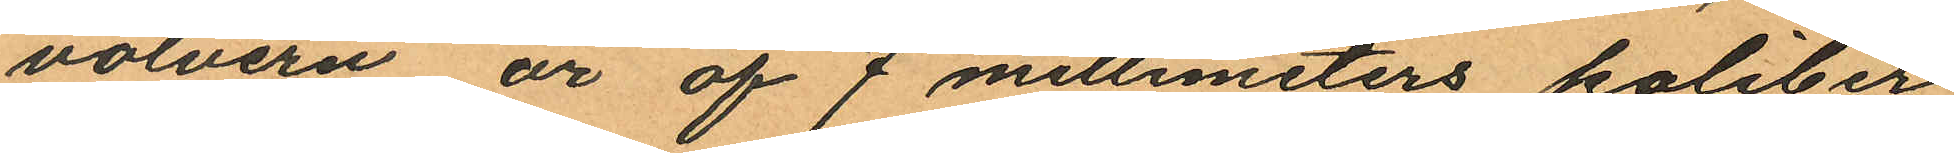volvern är af 7 millimeters kaliber
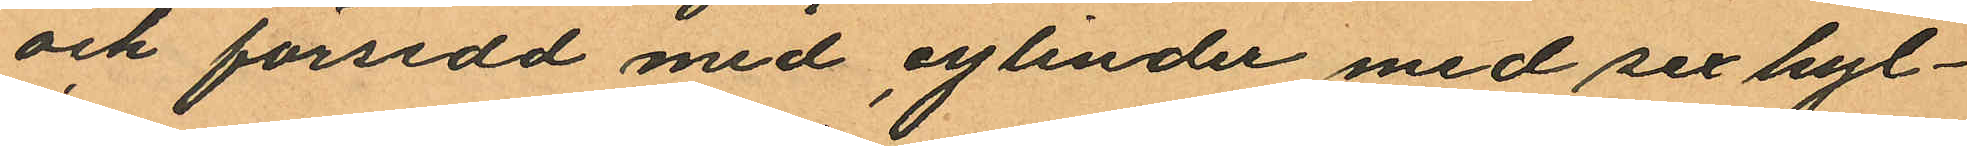och försedd med cylinder med sex hyl¬
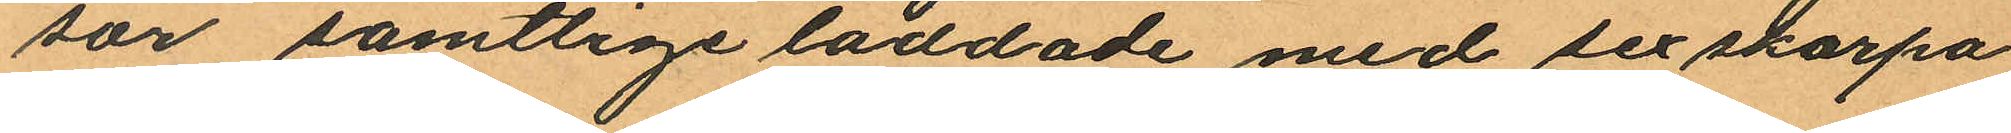sor samtlige laddade med sex skarpa
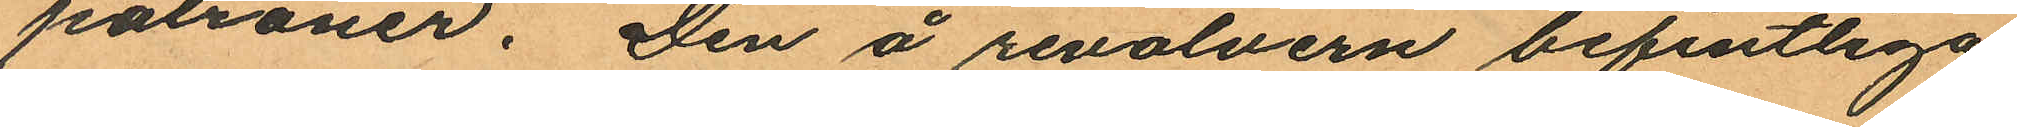patroner. Den å revolvern befintliga
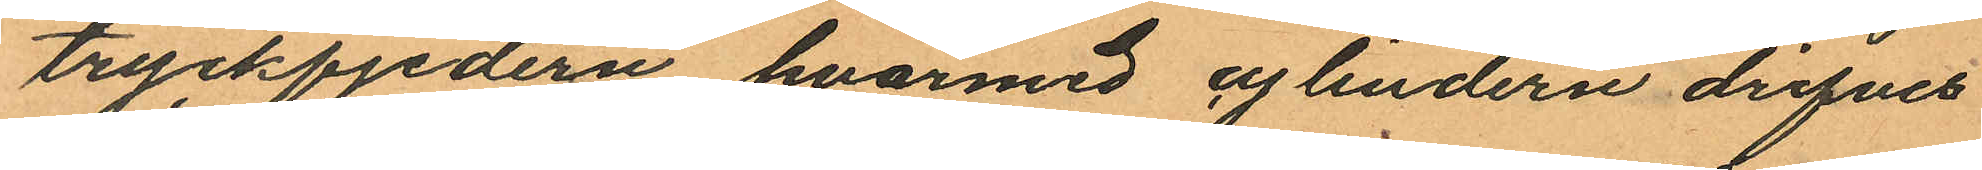tryckfjedern, hvarmed cylindern drifves
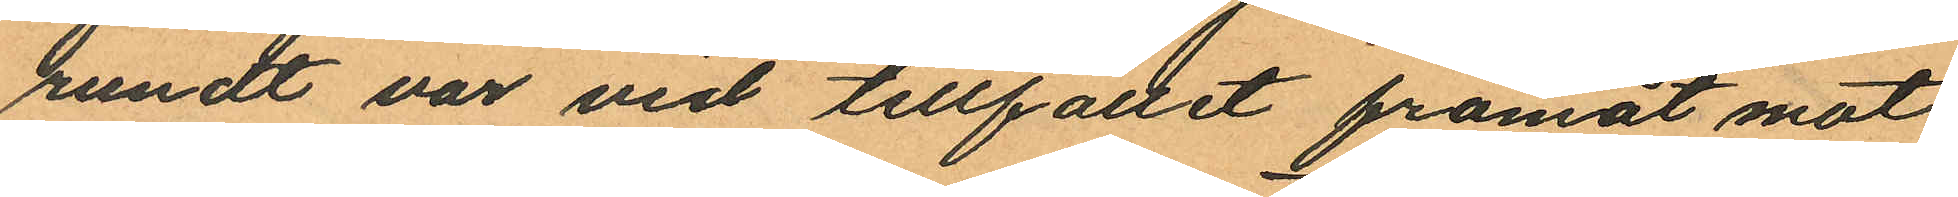rundt var vid tillfället framåt mot
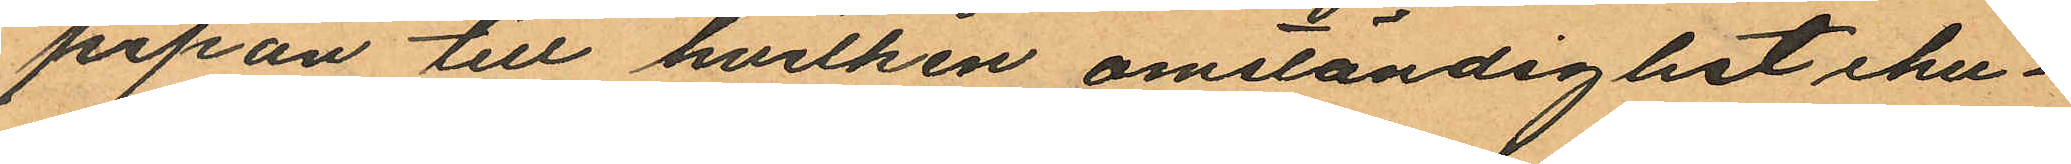pipan till hvilken omständighet ehu¬
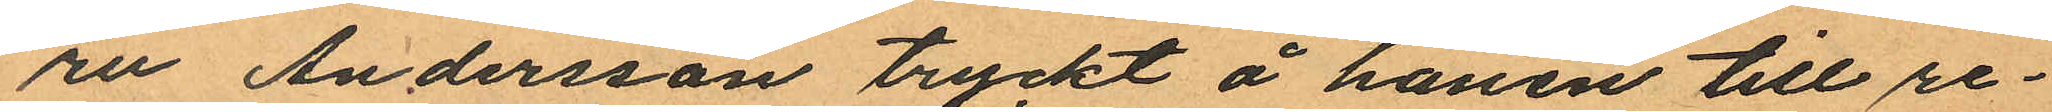ru Andersson tryckt å hanen till re¬
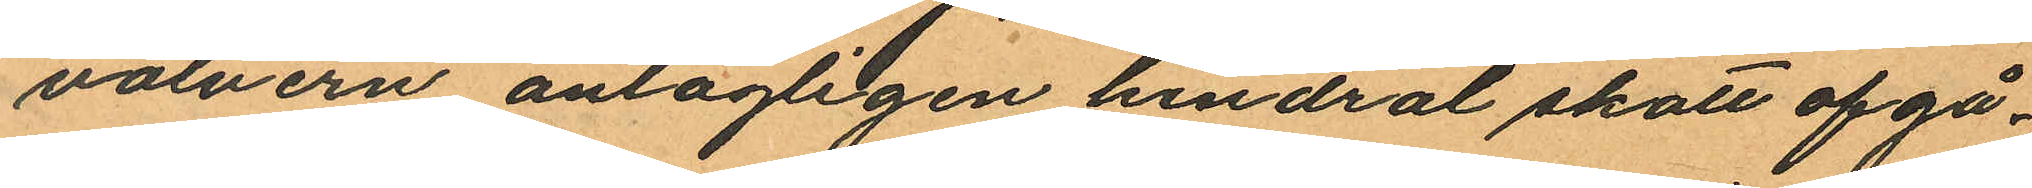volvern antagligen hindrat skott afgå.
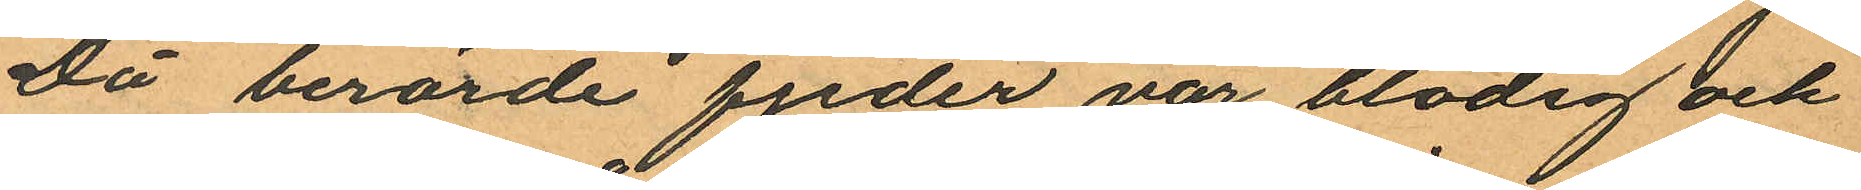Då berörde fjeder var blodig och
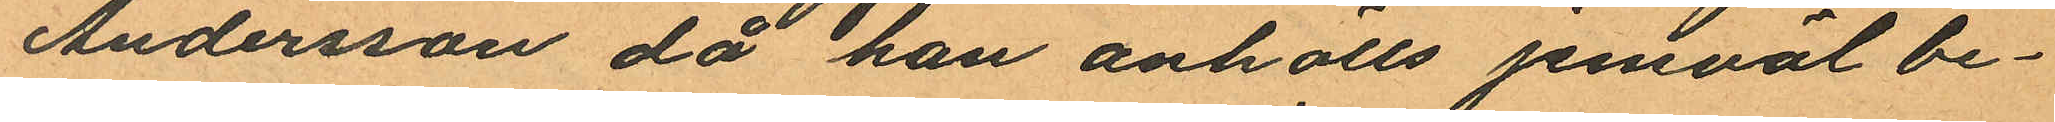Andersson då han anhölls jemväl be¬
